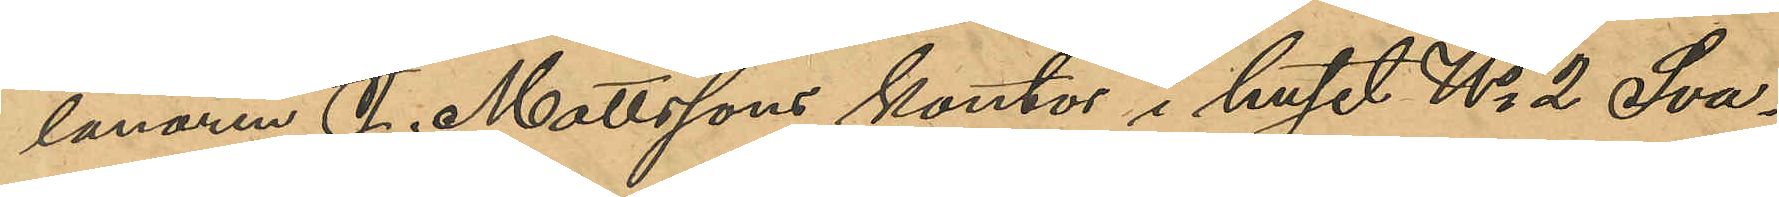lånaren J. Mattssons kontor i huset No 2 Sva¬
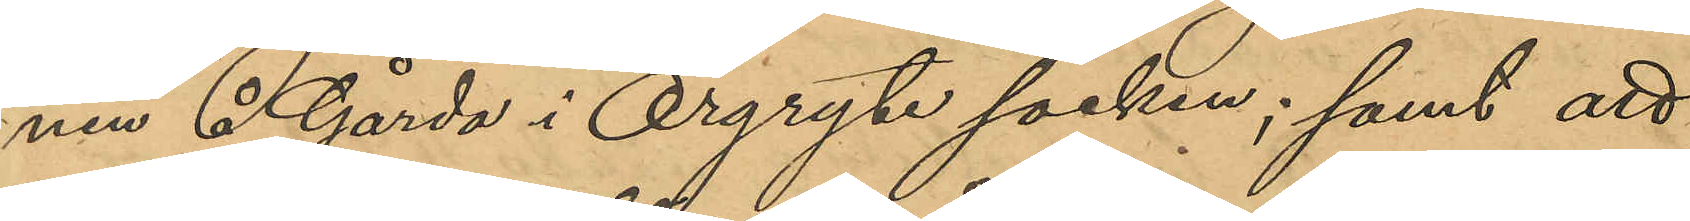nen å Gårda i Örgryte socken; samt att
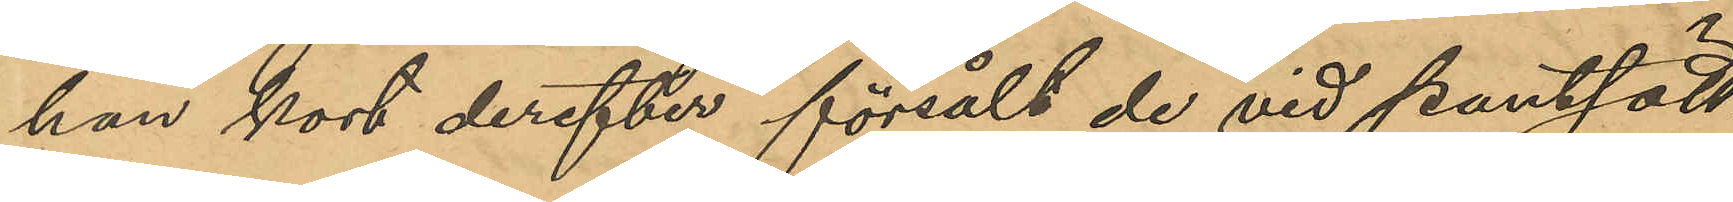han kort derefter försåldt de vid pantsätt-
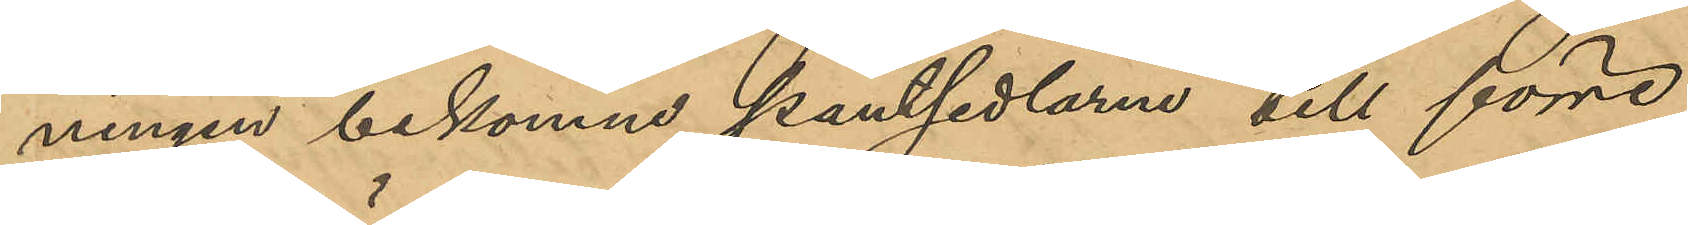ningen bekomne pantsedlarna till förre
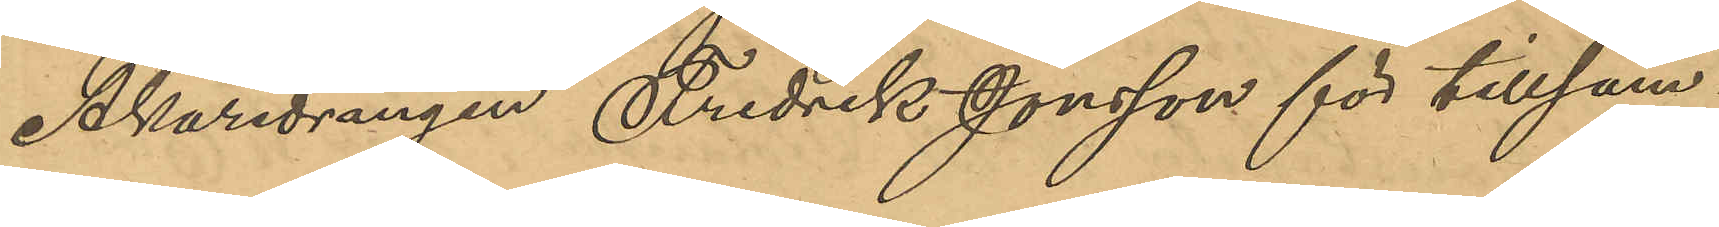Åkaredrängen Fredrik Jonsson för tillsam¬
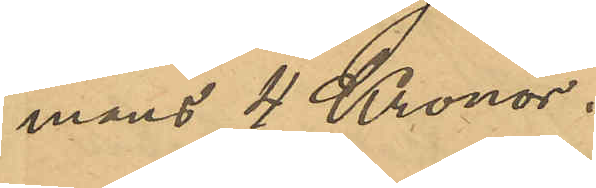mans 4 Kronor.
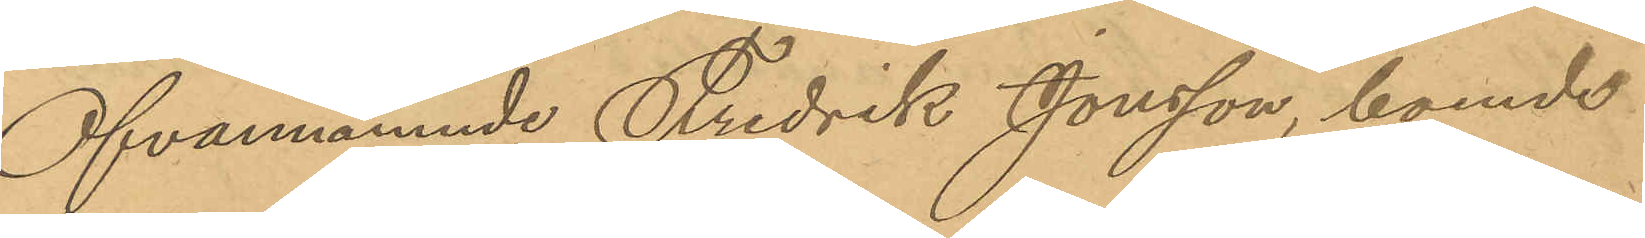Ofvannämnde Fredrik Jonsson, boende
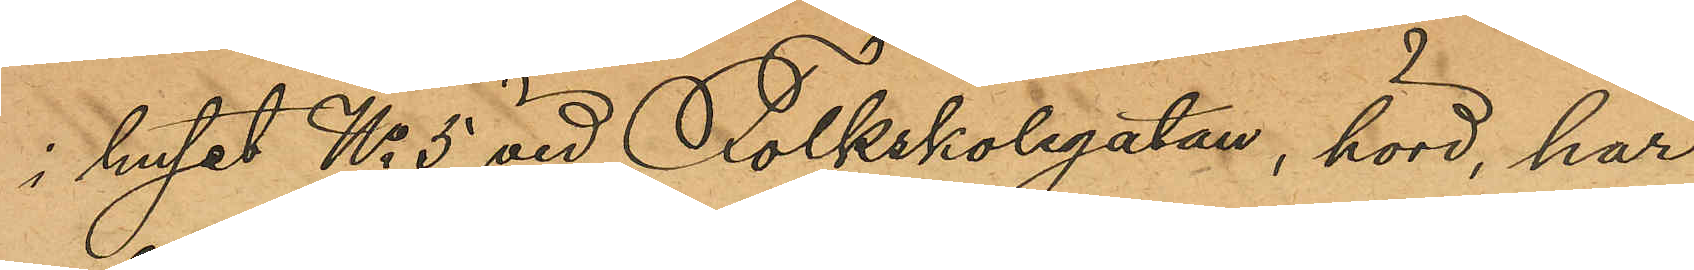i huset No 5 vid Folkskolegatan, hörd, har
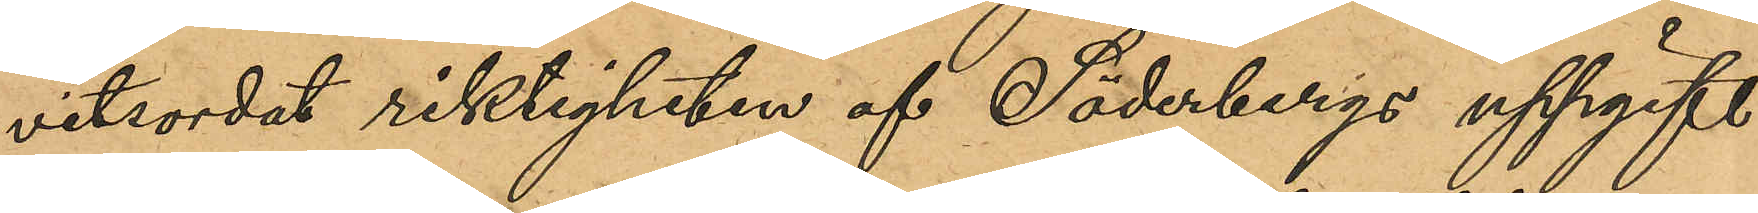vitsordat riktigheten af Söderbergs uppgift
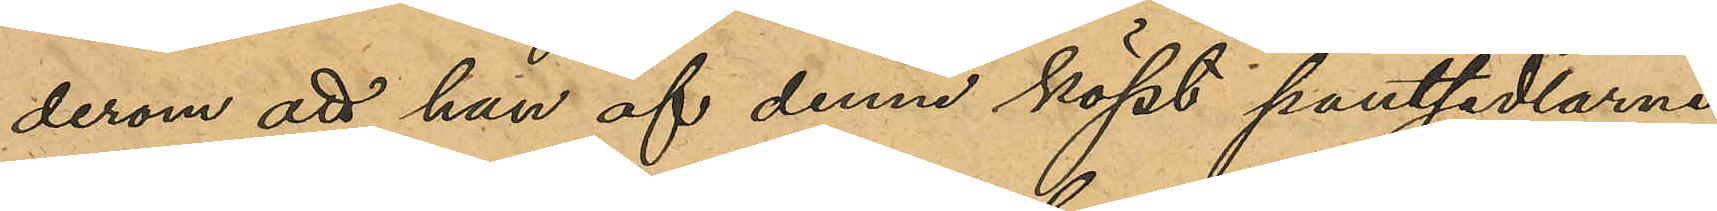derom att han af denne köpt pantsedlarne;
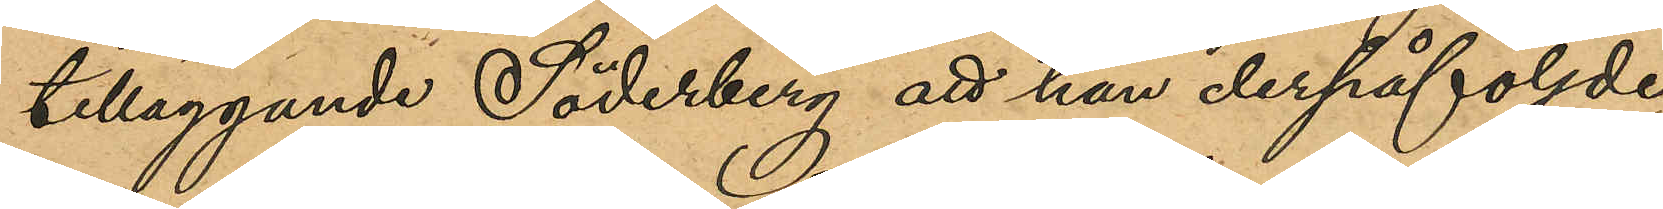tilläggande Söderberg att han derpåföljde
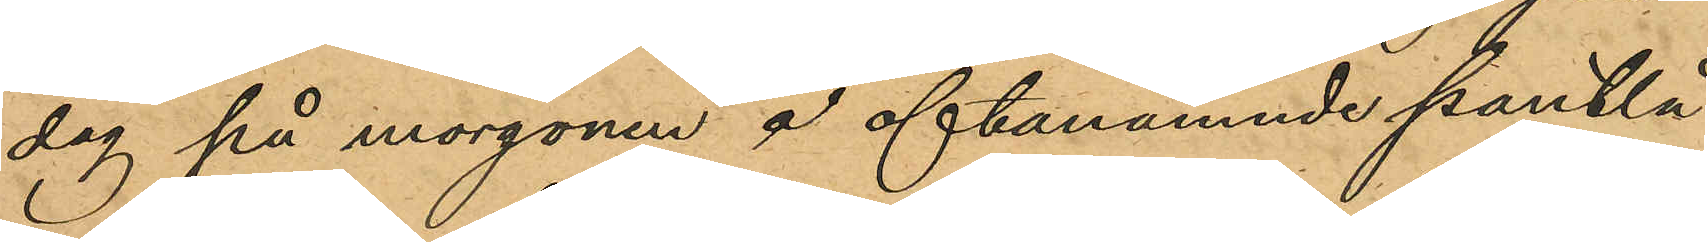dag på morgonen å oftabenämnde pantlå¬
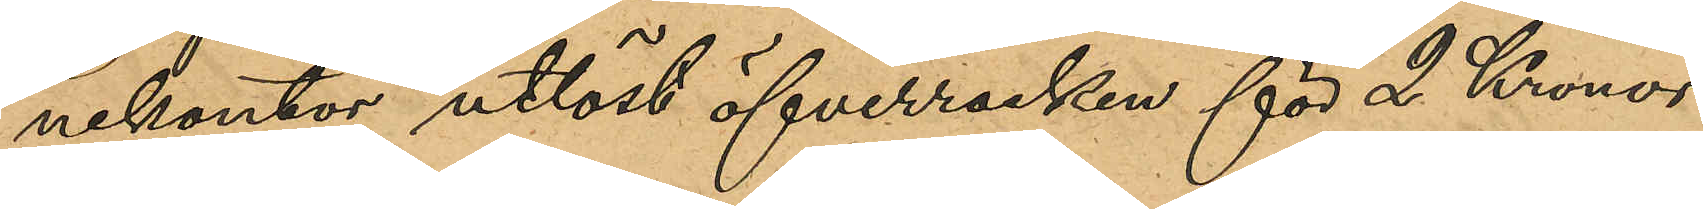nekontor utlöst öfverrocken för 2 Kronor
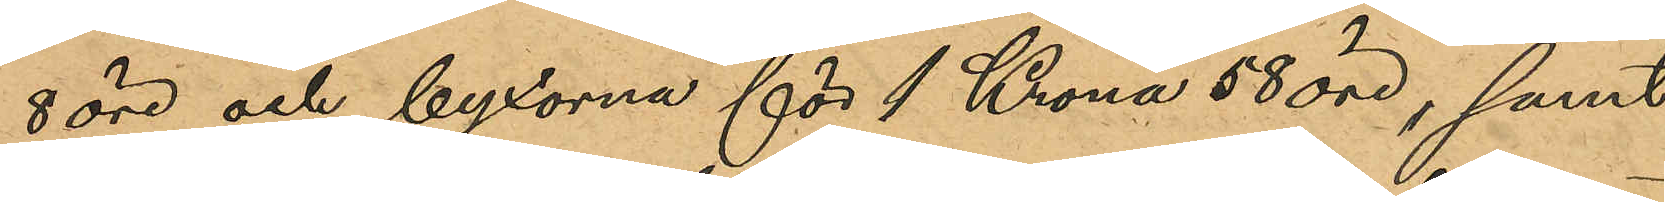8 öre och byxorna för 1 Krona 58 öre, samt
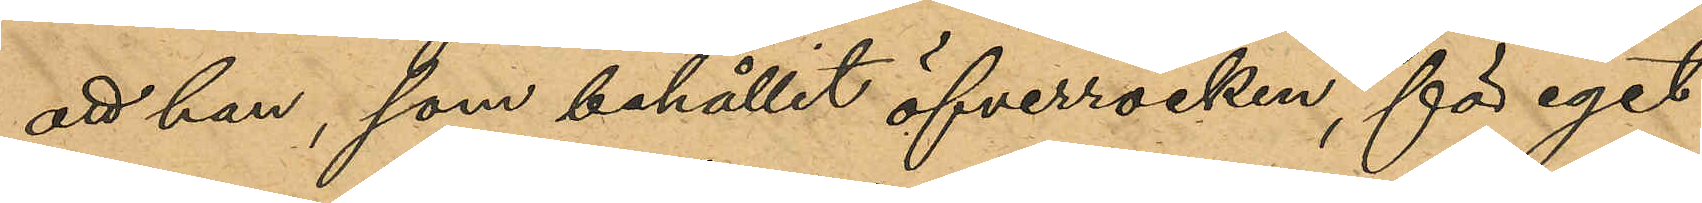att han, som behållit öfverrocken, för eget
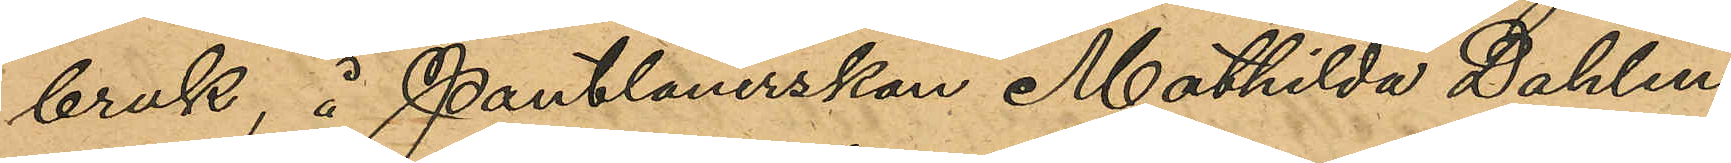bruk, å Pantlånerskan Mathilda Dahlins
